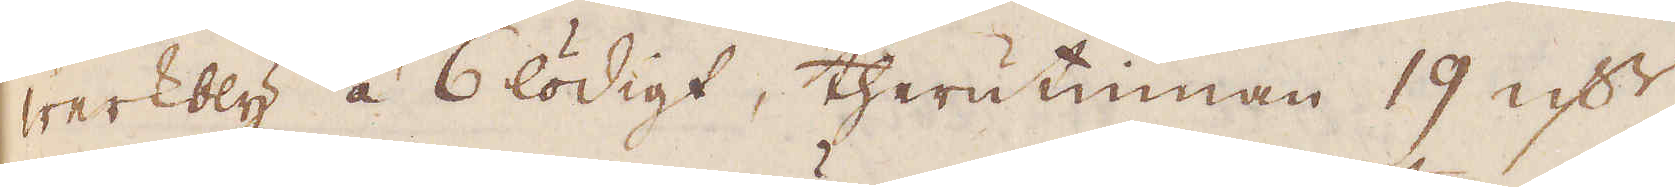werkbly á 6 lödigt, therutinnan 19 qv:r
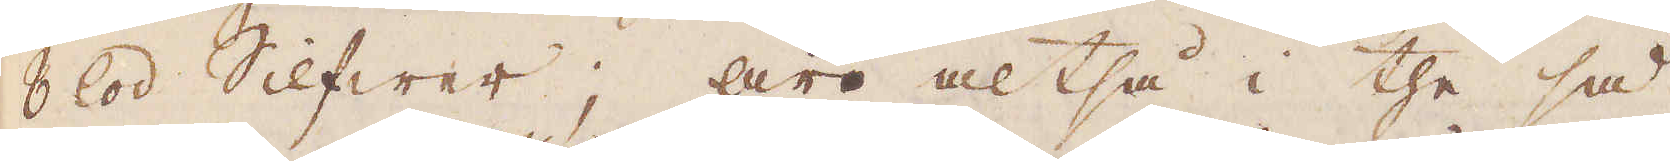8 lod Silfwer; äro altså i the så
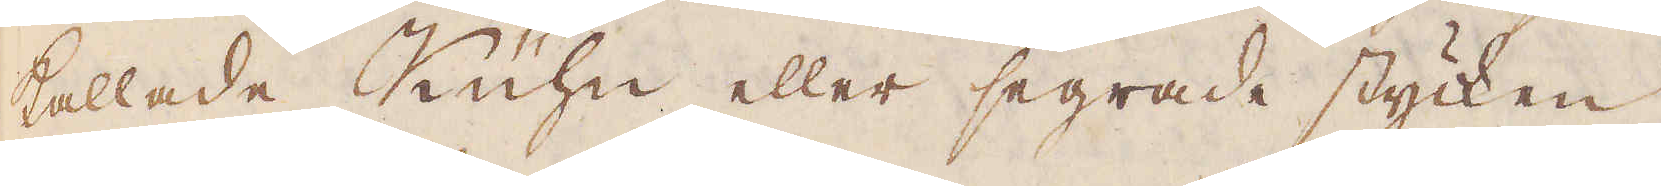kallade Kühn eller segrade stycken
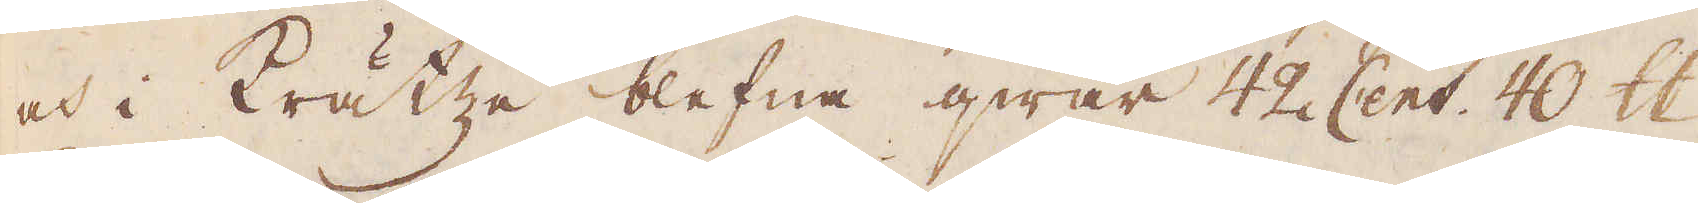och i krätze blefna qwar 42 Cent 40 skålpund
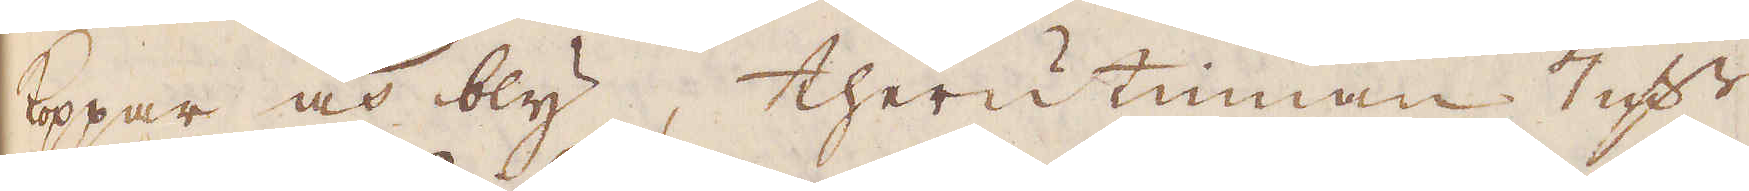koppar och bly, therutinnan 7 qv:r
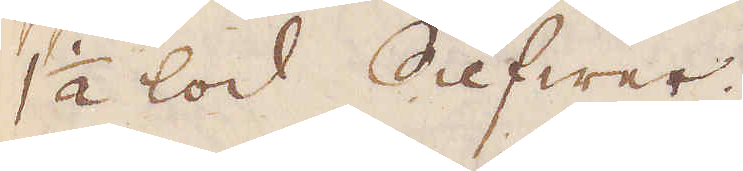1 1/2 lod Silfwer.
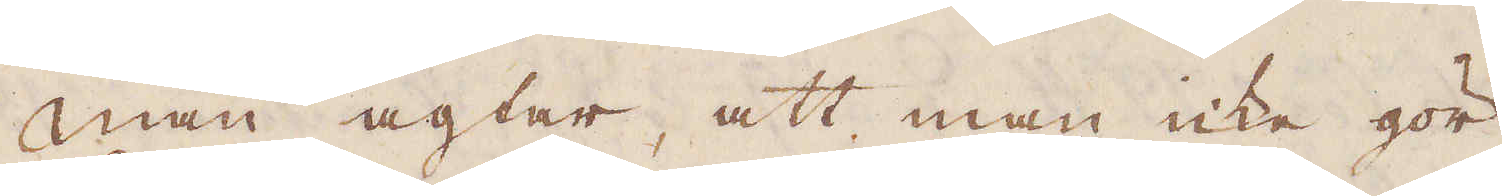Man agtar, att man icke gör
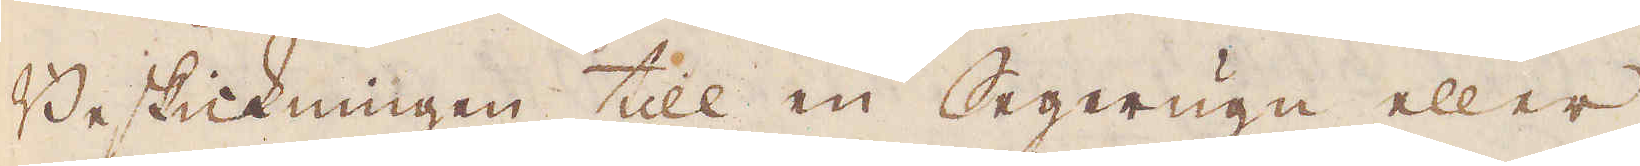Beskickningen till en Segerugn eller
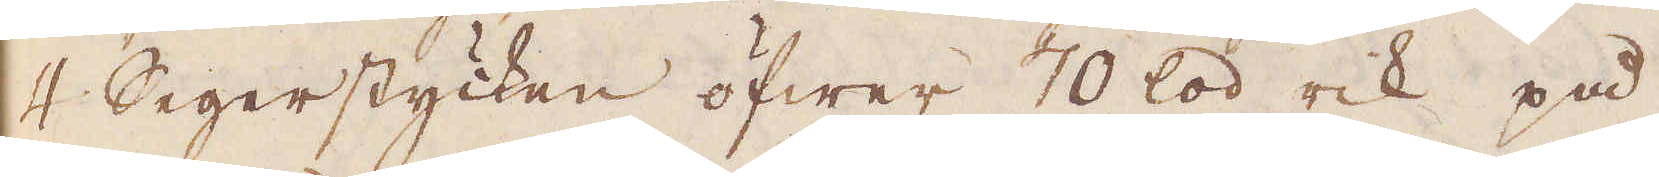4 Segerstycken öfwer 70 lod rik på
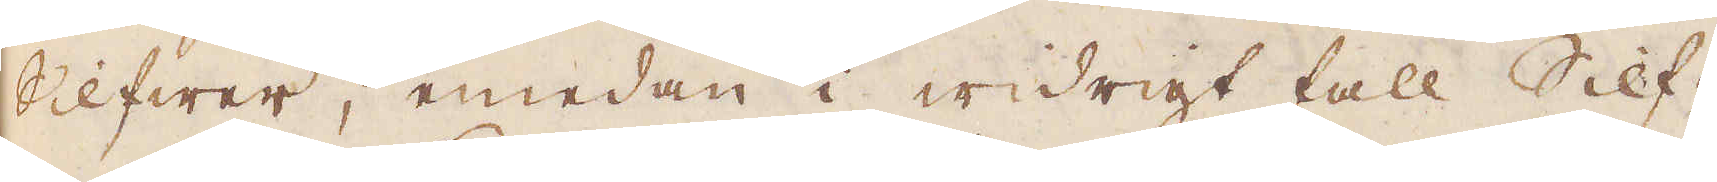sllfwer, medan i widrigt fall Silf-
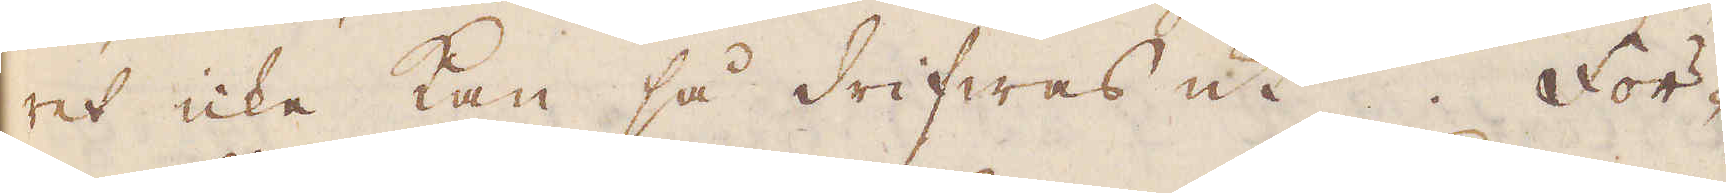ret icke kan så drifwas ut För-
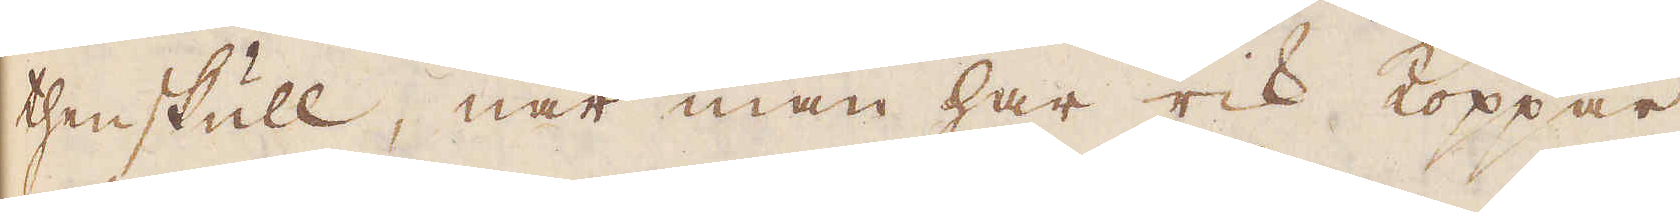thenskull, när man här rik Koppar
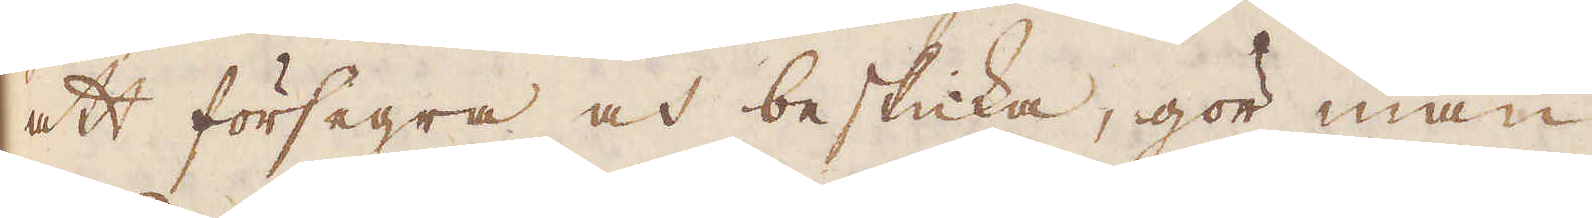att försegra och beskicka, gör man
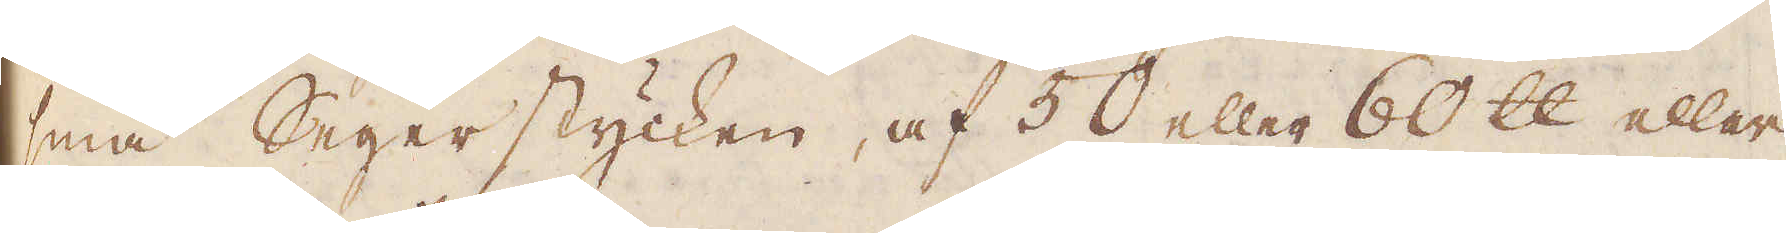små Segerstycken, af 50 eller 60 skålpund eller
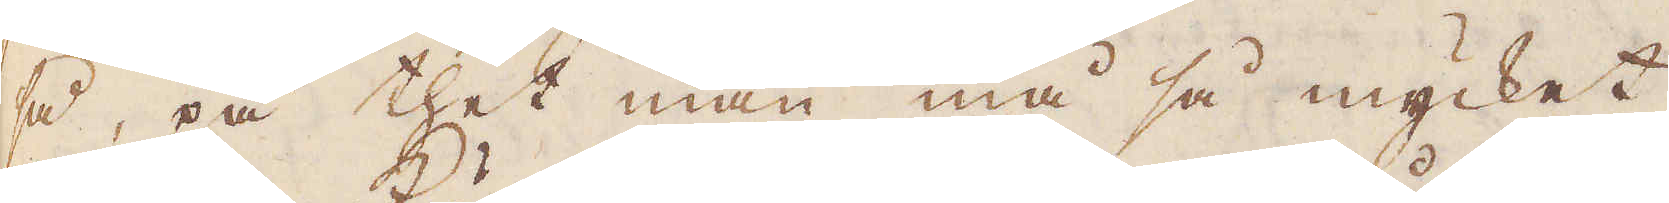så, på thet man må så mycket,
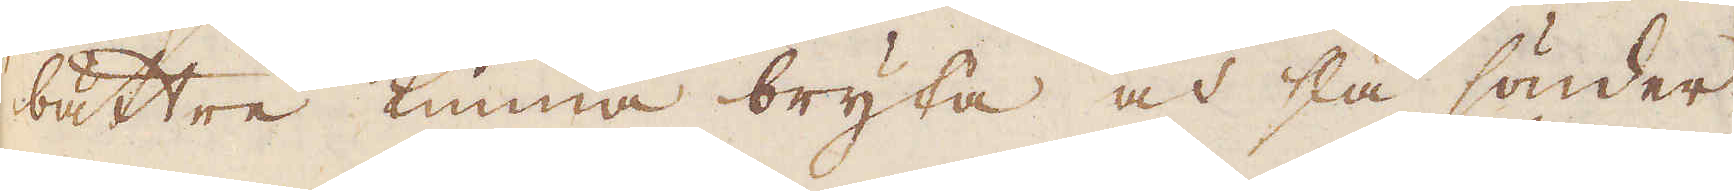bättre kunna bryta och slå sönder
